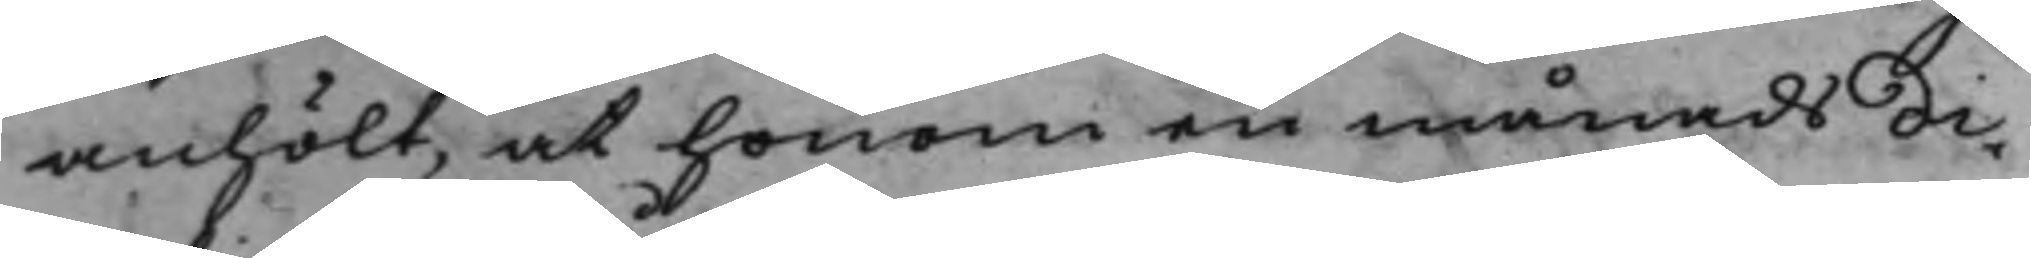anhölt, at honom en månads di¬
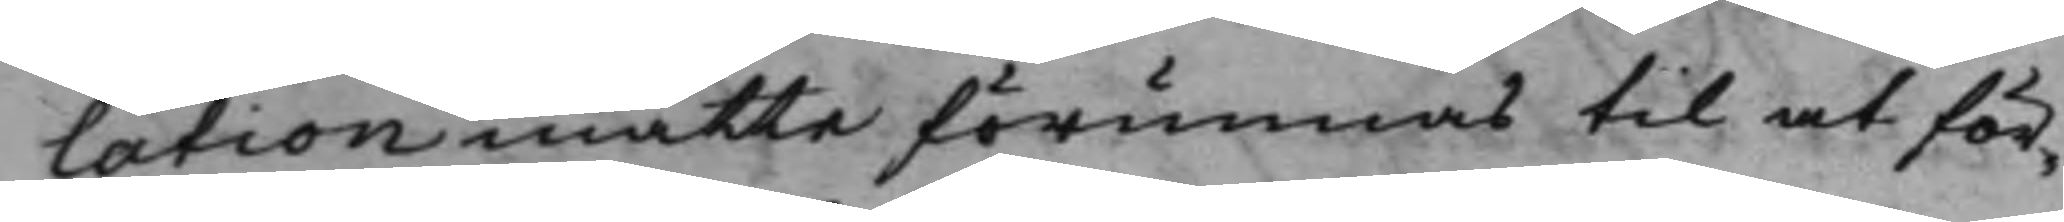lation måtte förunnas til at för¬
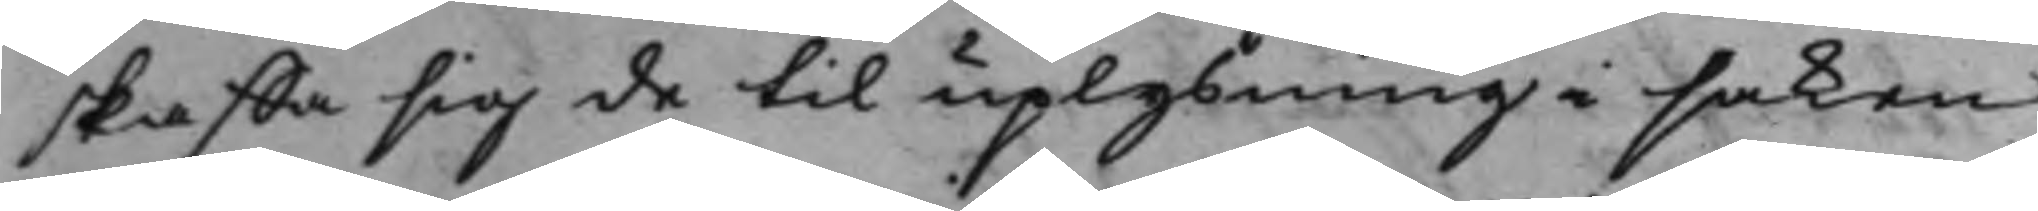skaffa sig de til uplysning i saken
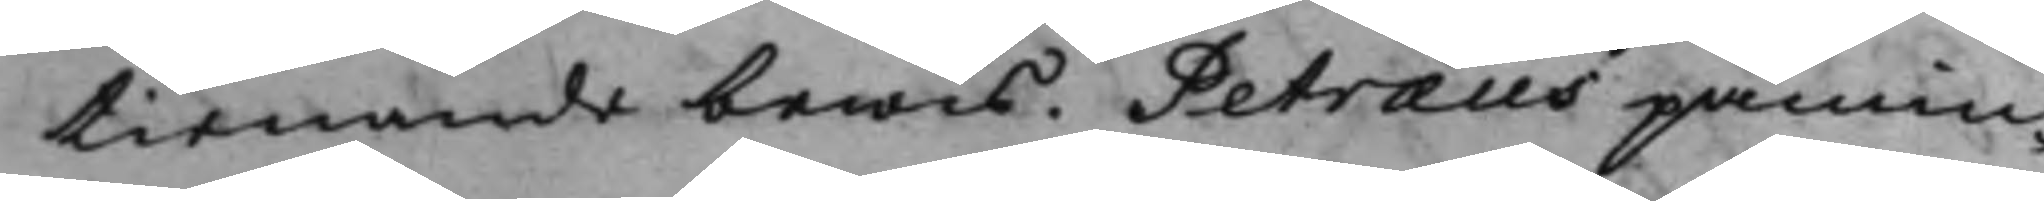tienande bewis. Petræus påmin¬
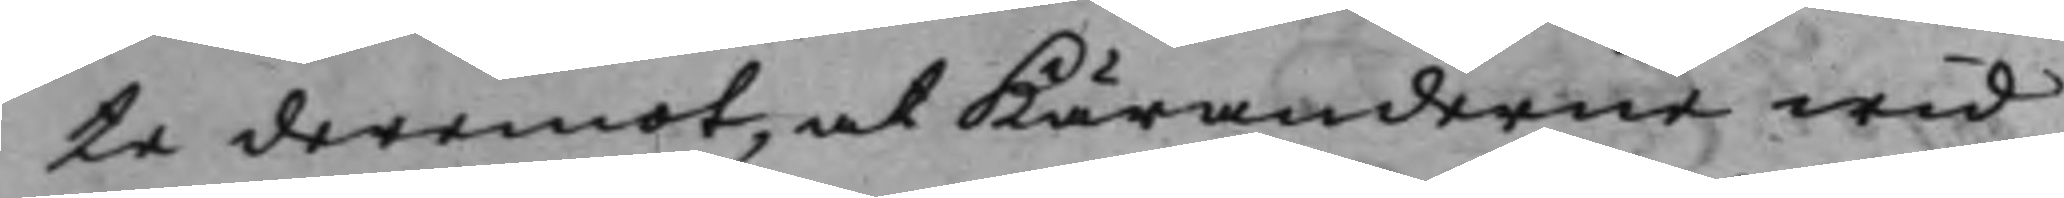te deremot, at Käranderne wid
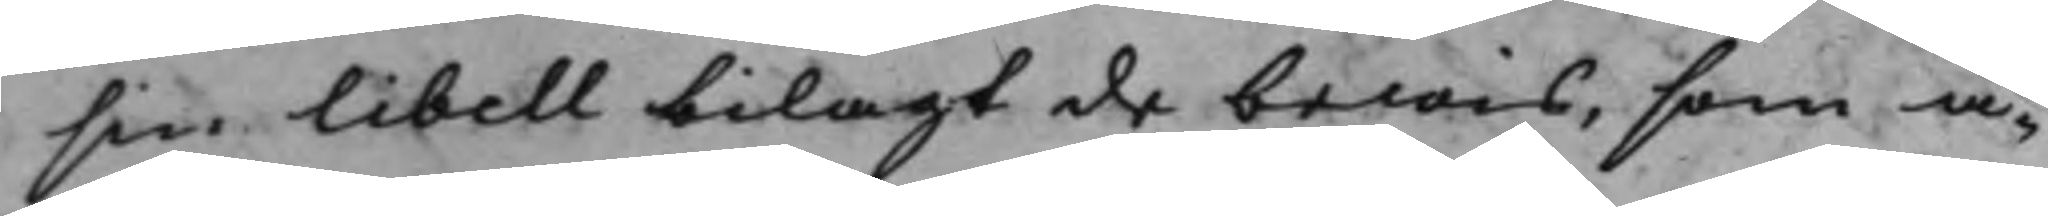sin libell bilagt de bewis, som å¬
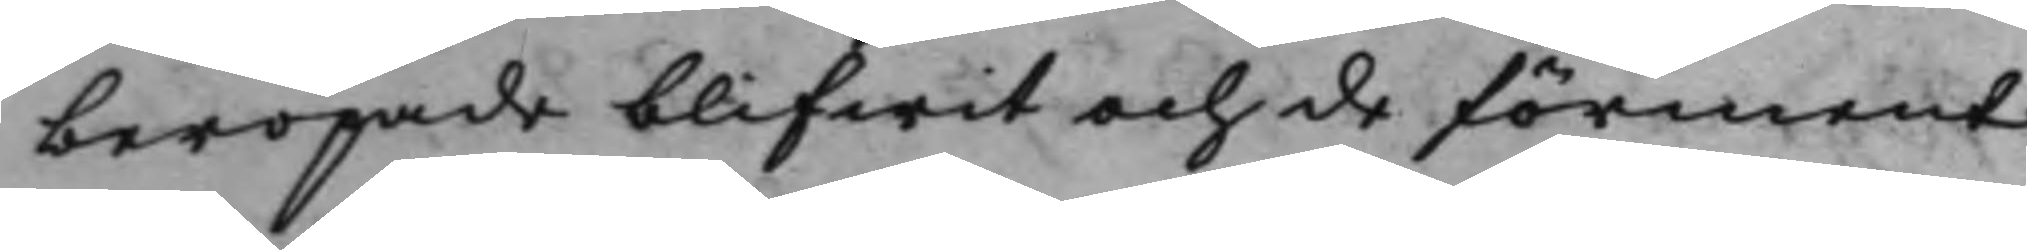beropade blifwit och de förment
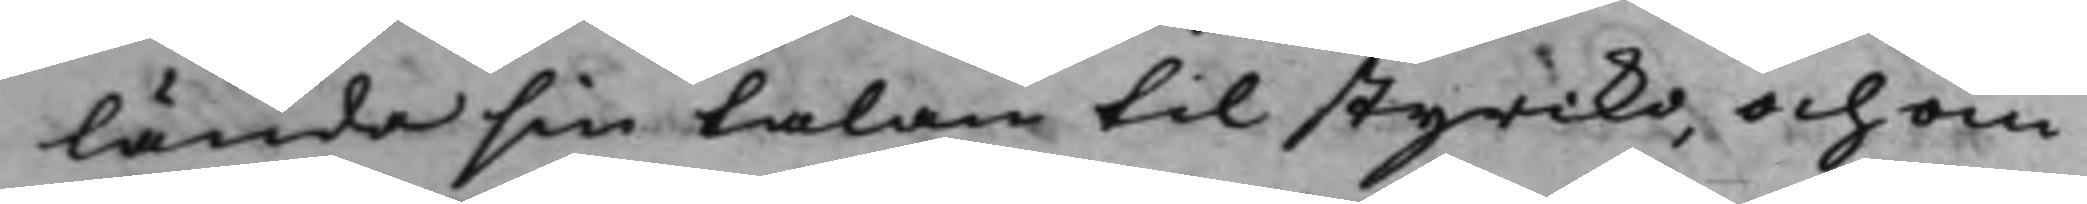lända sin talan til styrcko, och om
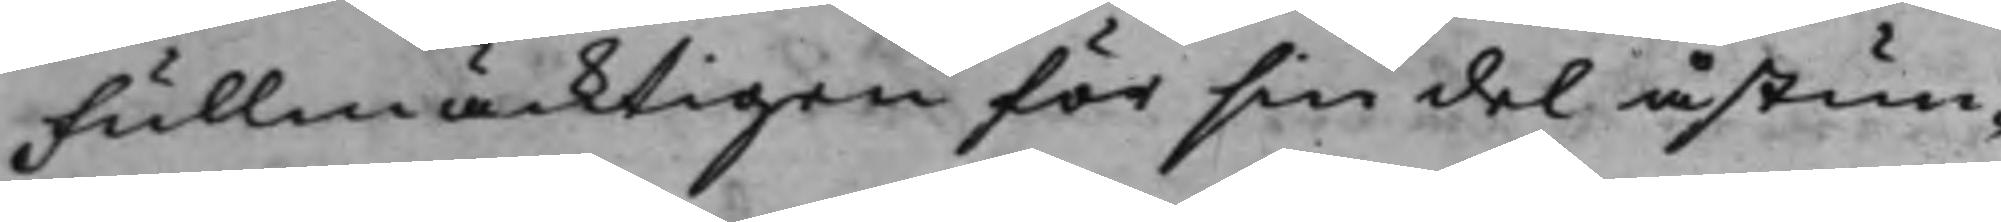Fullmäcktigen för sin del åstun¬
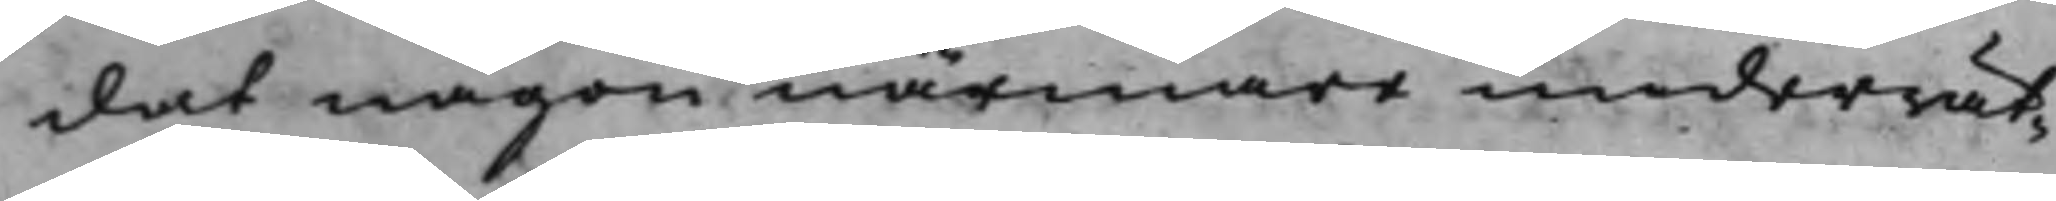dat någon närmare underrät¬
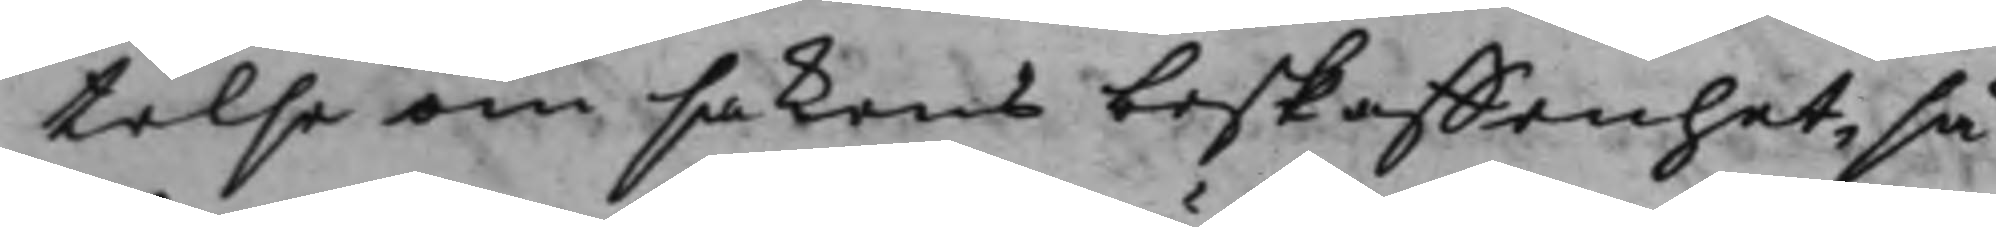telse om sakens beskaffenhet, så¬
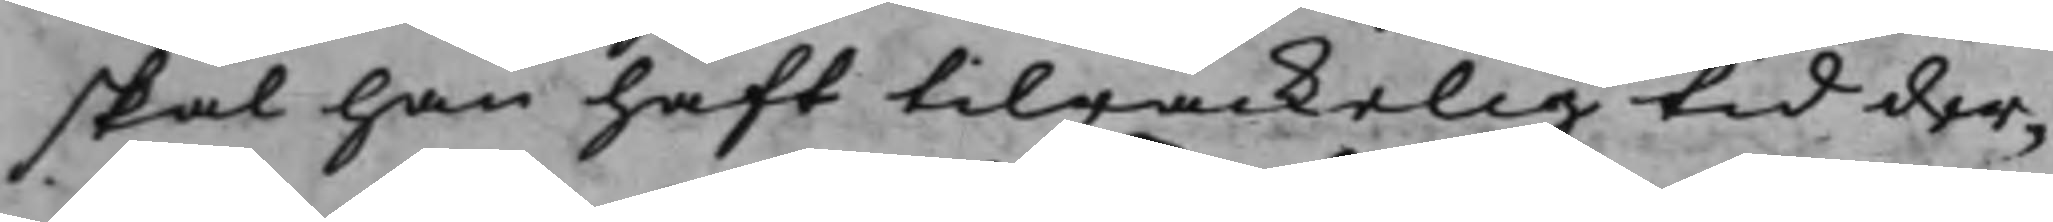skal han haft tilräckelig tid der¬
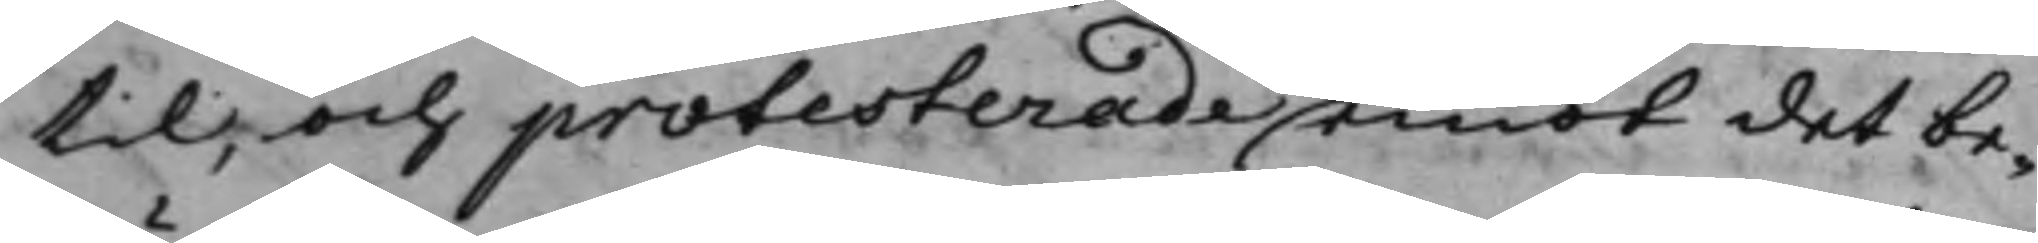til, och protesterade emot det be¬
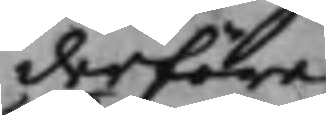derföre
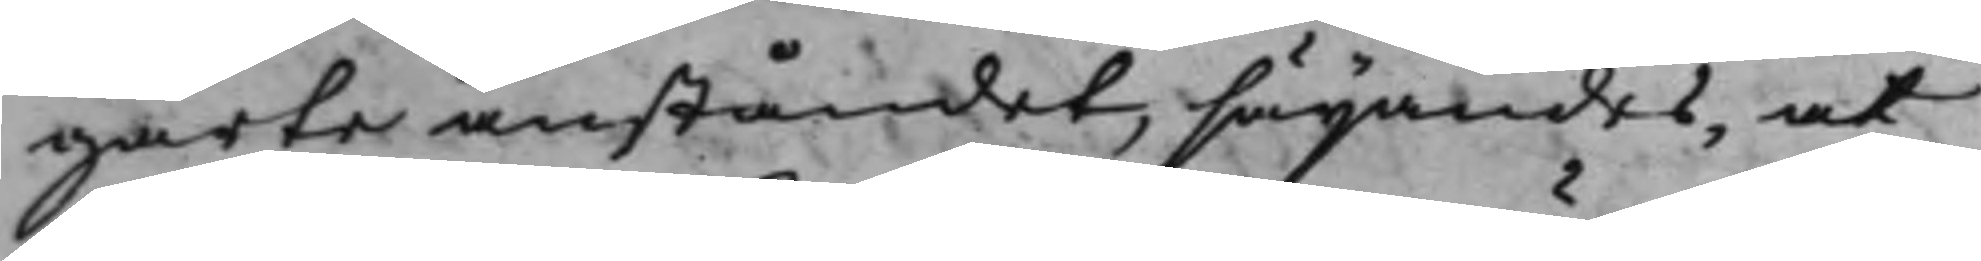gärte anståndet, säijandes, at
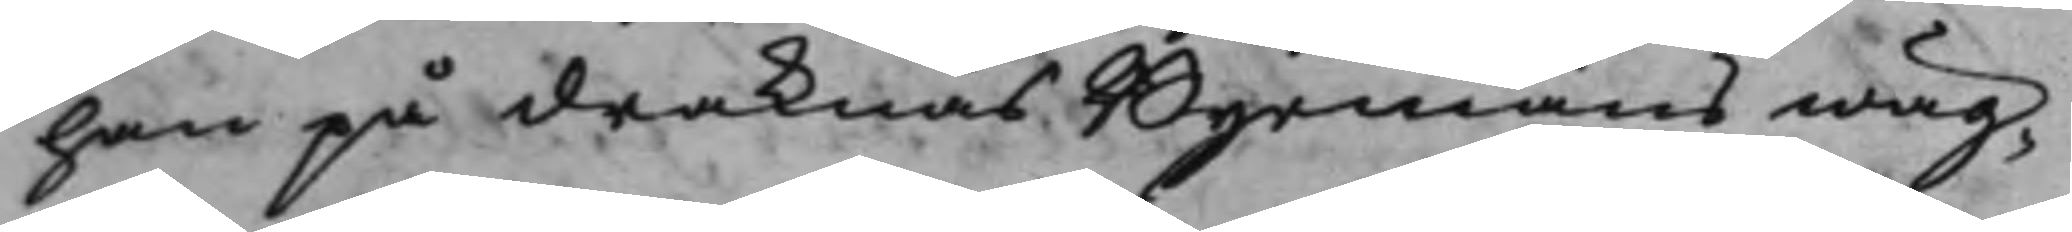han på Draknäs Byemäns wäg¬
